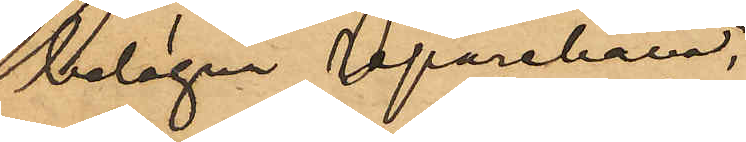belägna reparebana, 
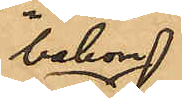bakom
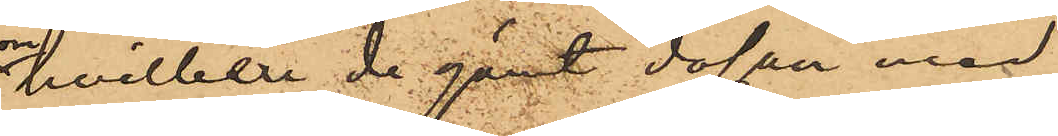hvilken de gömt dosan med
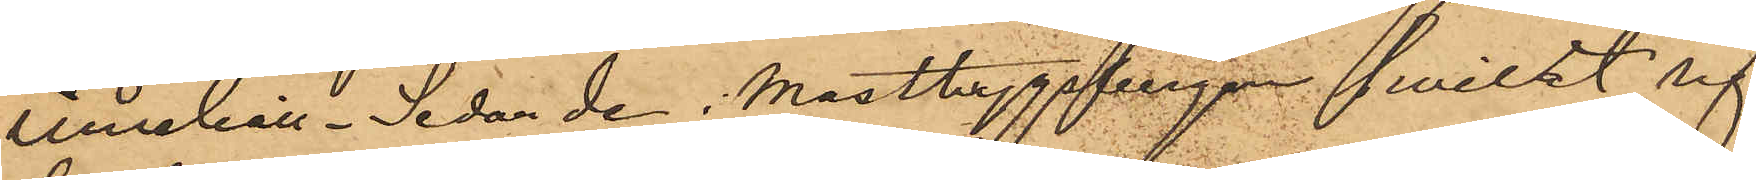innehåll. Sedan de i Masthuggsbergen hwilat sig
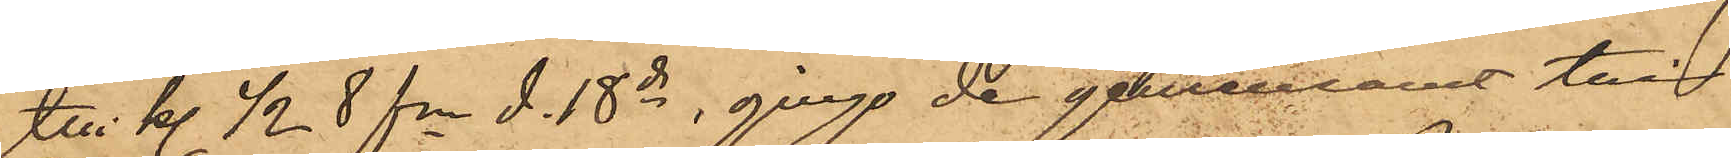till kl. ½ 8 fm d. 18 ds, gingo de gemensamt till
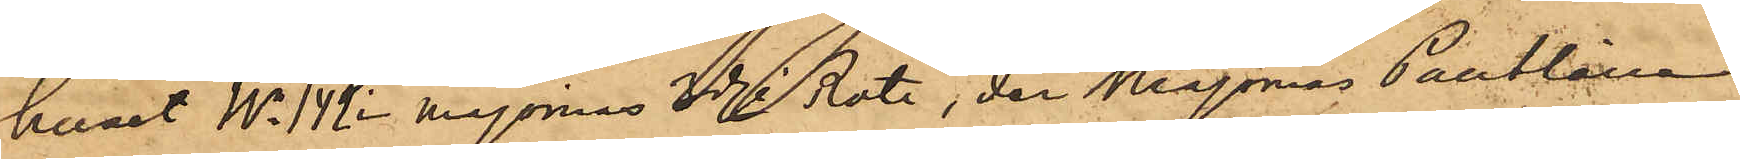huset No 142 i majornas 3dje Rote, der Majornas Pantlåne¬
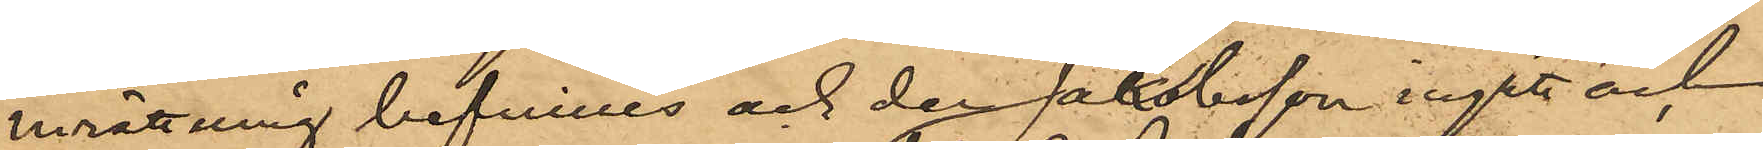inrättning befinnes och der Jakobsson ingått och
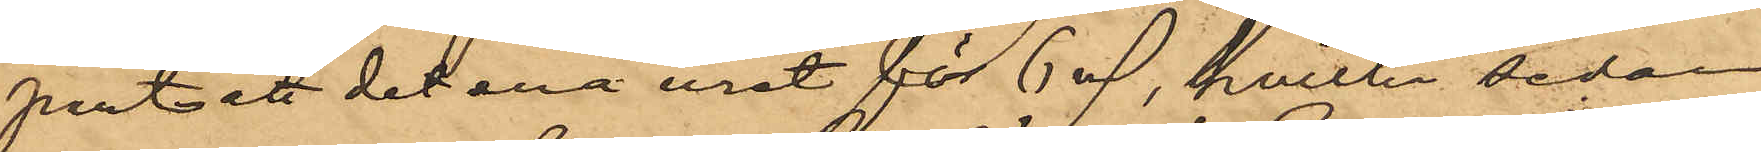pantsatt det ena uret för 6 rdr, hvilka sedan
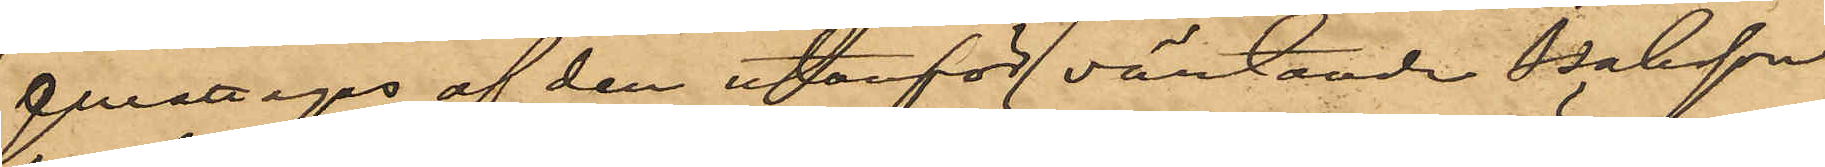emottagits af den utanför väntande Isaksson
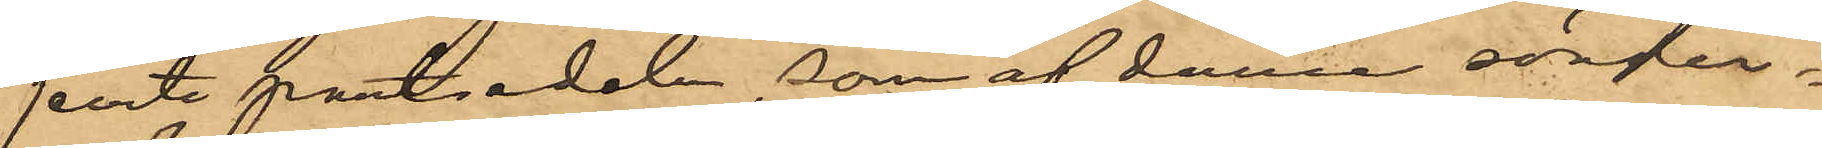jemte pantsedeln, som af denne sönder¬
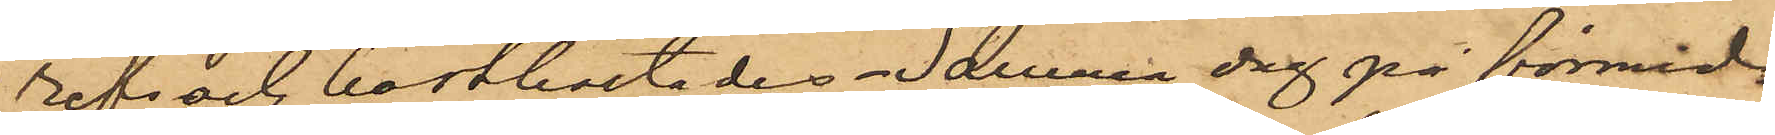refs och bortkastades. Samma dag på förmid¬
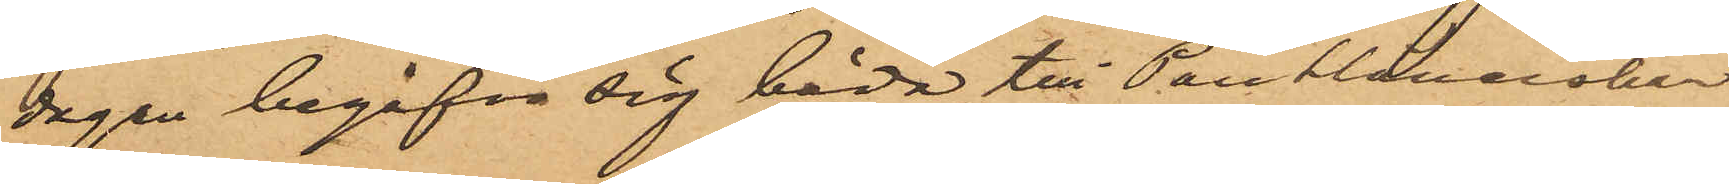dagen begåfvo sig båda till Pantlånerskan
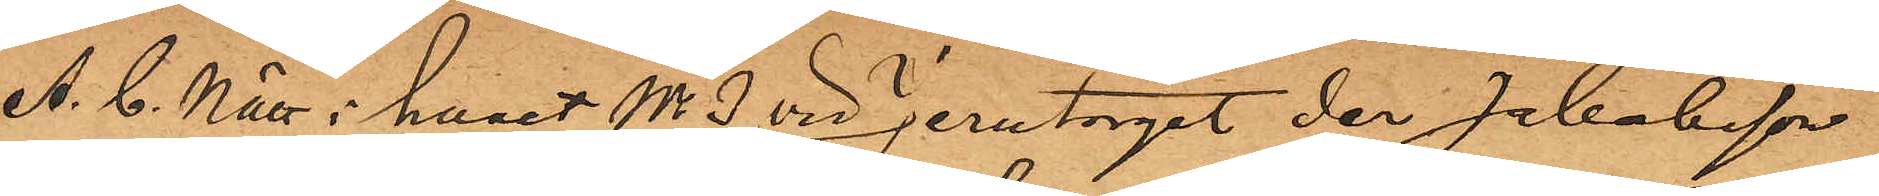A. C. Nätt i huset No 3 vid Jerntorget der Jakobsson
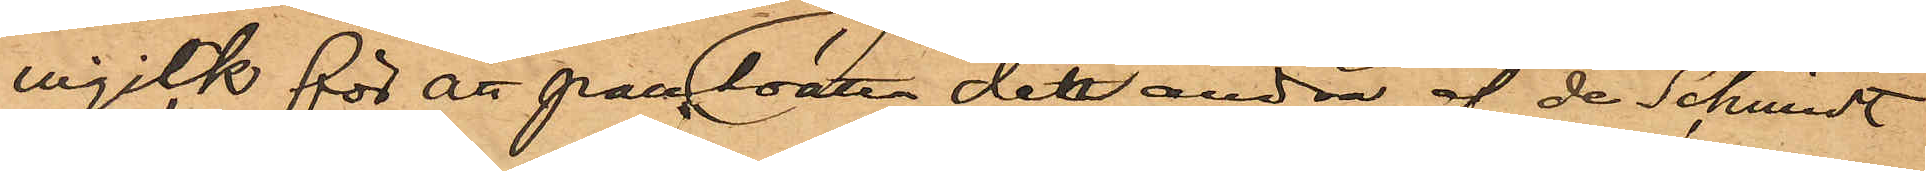ingick för att pansätta det andra af de Schmidt
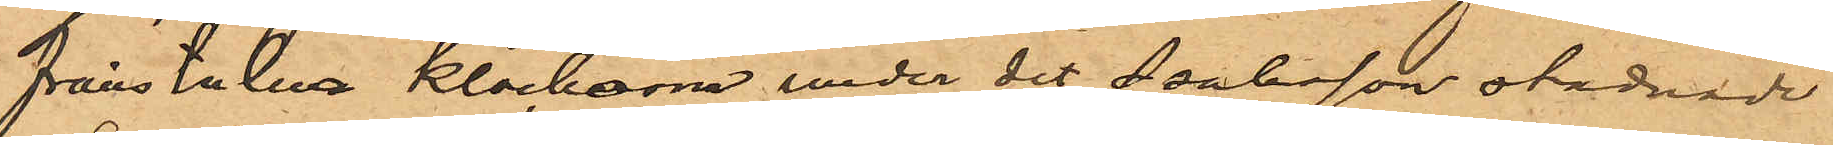frånstulna klockorna under det Isaksson stadnade
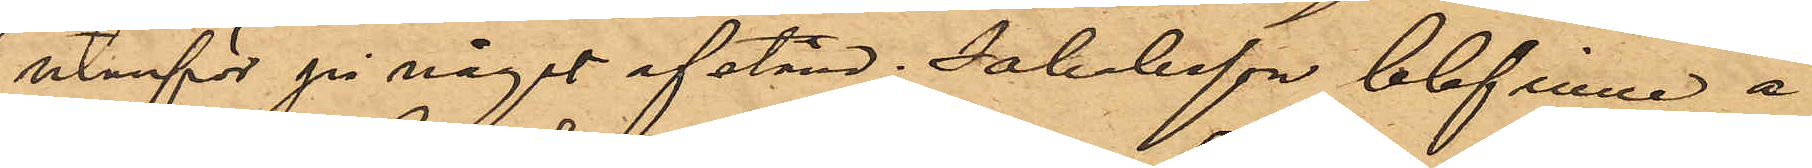utanför på något afstånd; Jakobsson blef inne å
